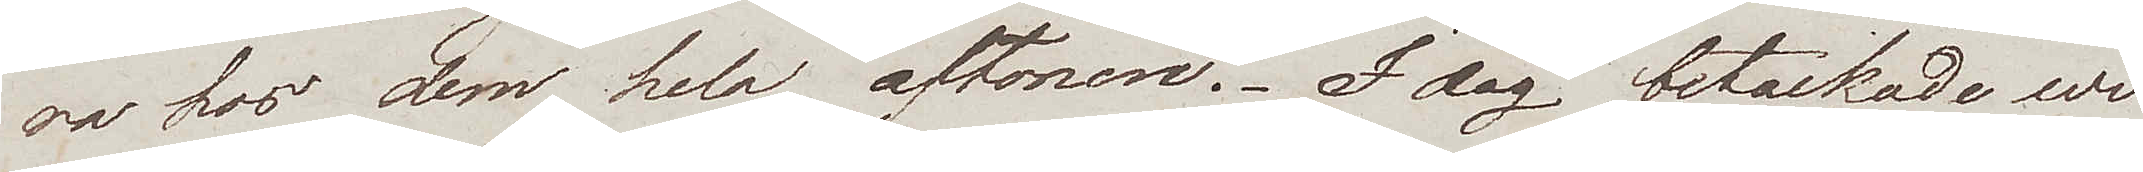ra hos dem hela aftonen. I dag betackade wi
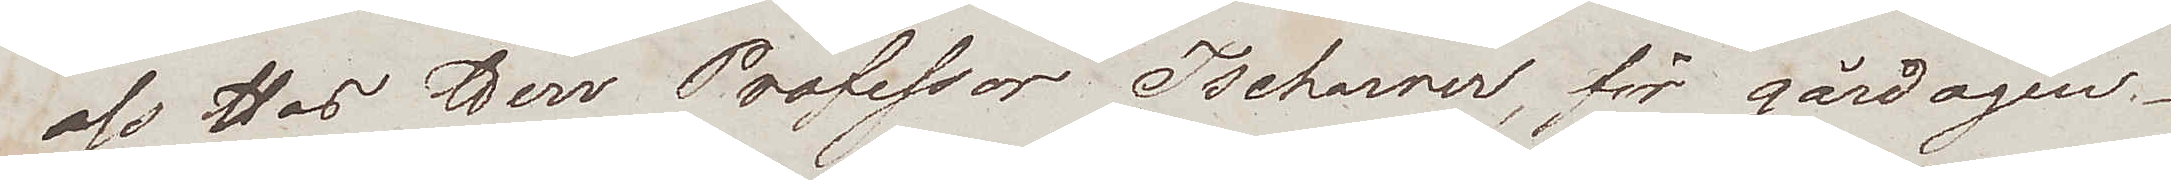oss hos Herr Professor Tschanner, för gårdagen.
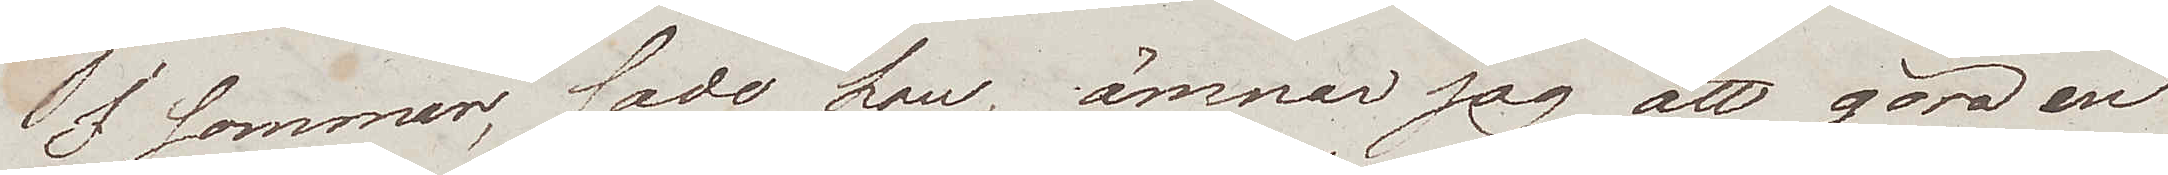I sommar, sade han, ämnar jag att göra en
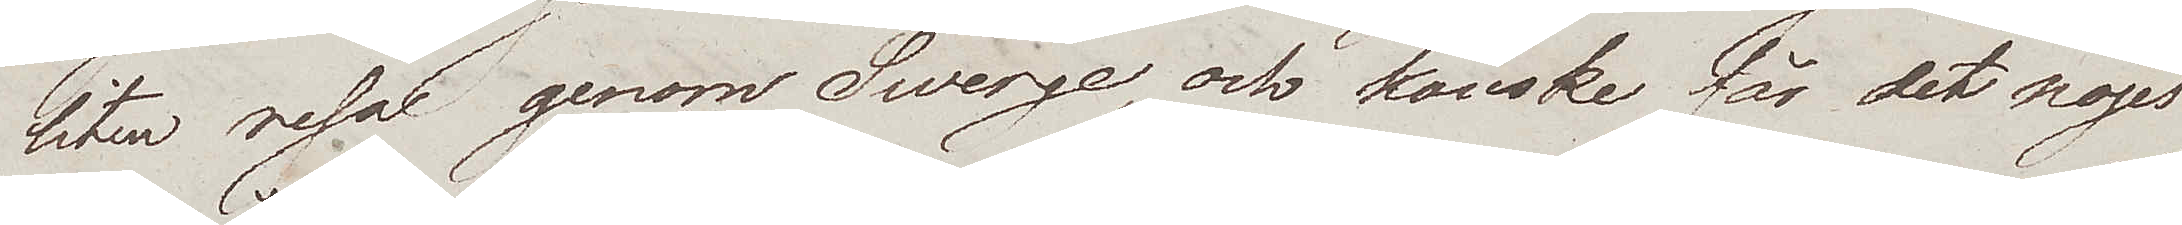liten resa genom Swerge, och kanske får det nöjet
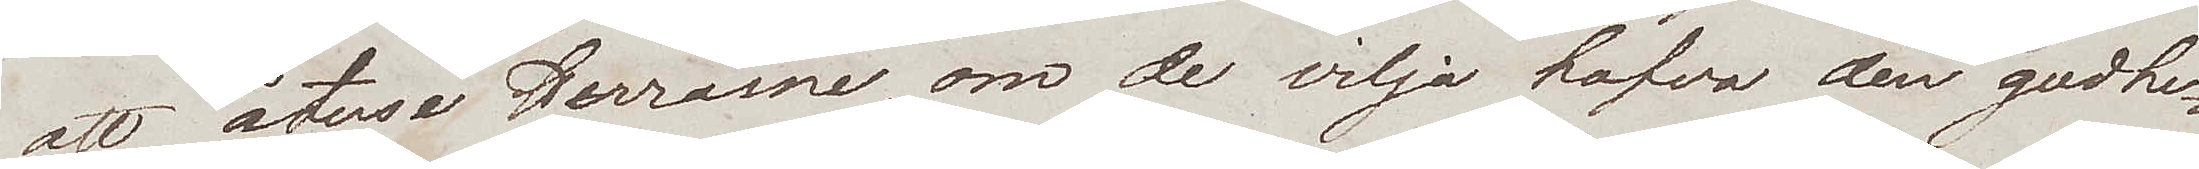att återse Herrarne, om de vilja hafva den godhe¬
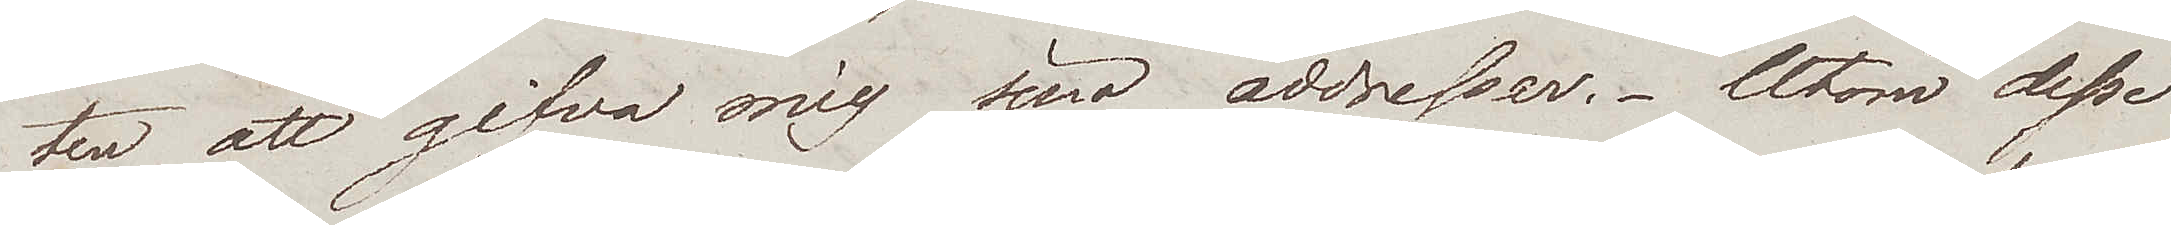ten att gifva mig sina addresser. Utom desse
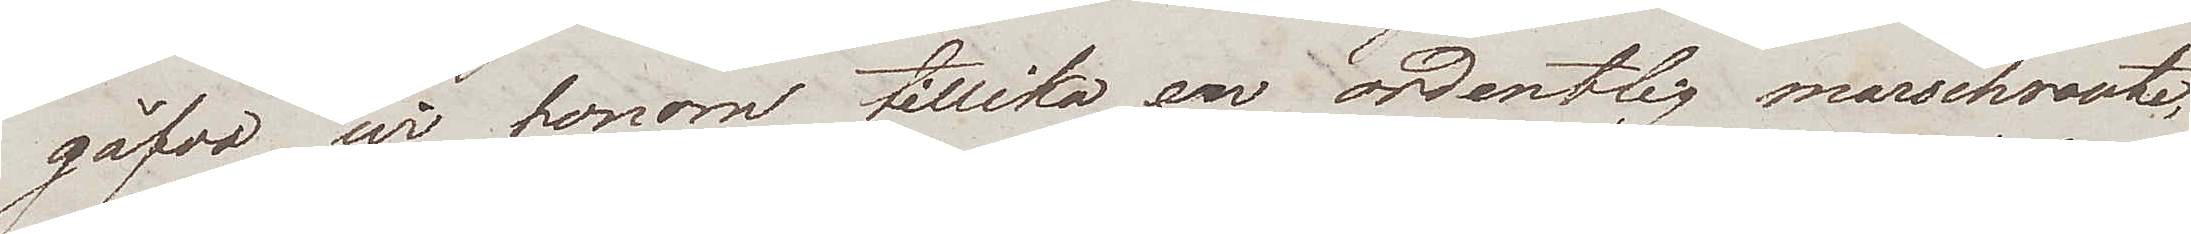gåfvo wi honom tillika en ordentlig marschroute,
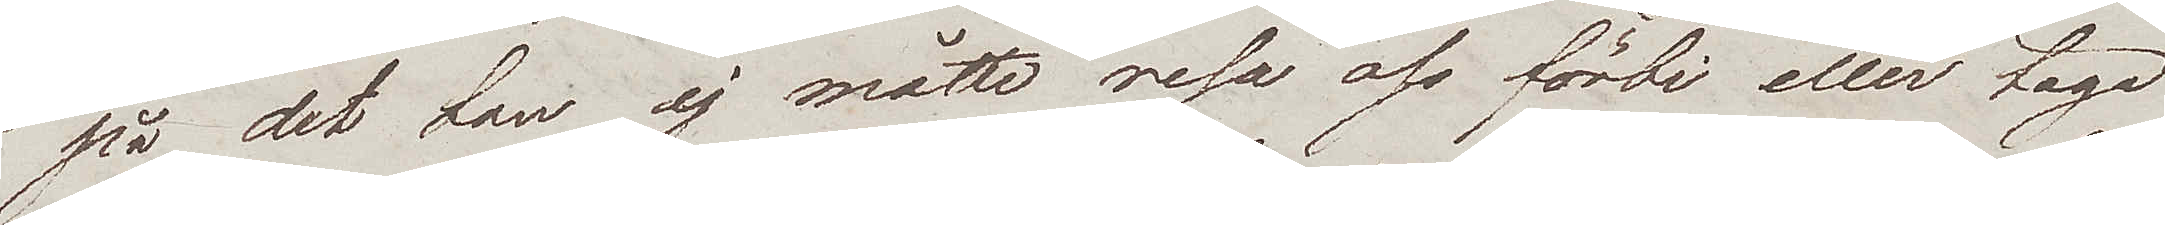på det han ej måtte resa oss förbi eller taga
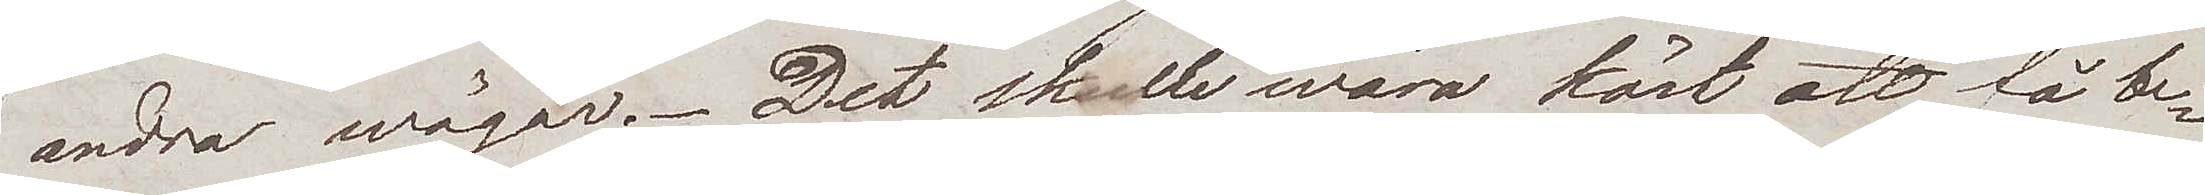andra wägar. Det skulle wara kärt att få be¬
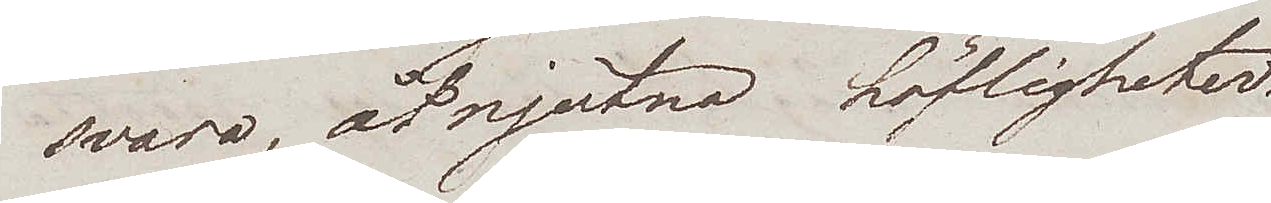svara, åtnjutna höfligheter.
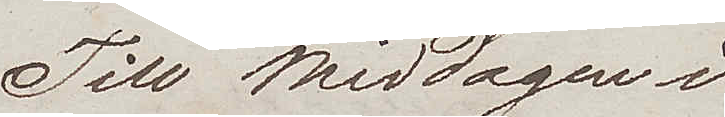Till middagen i
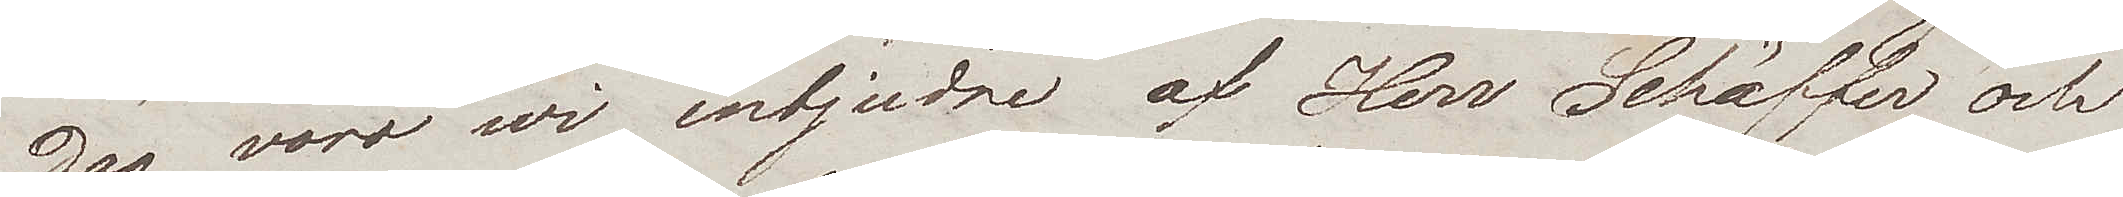dag voro wi inbjudne af Herr Schäffer och
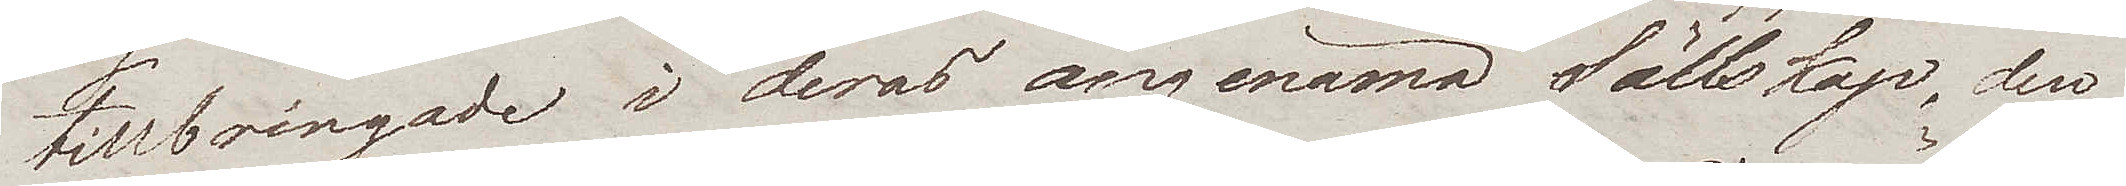tillbringade i deras angenäma Sällskap, den
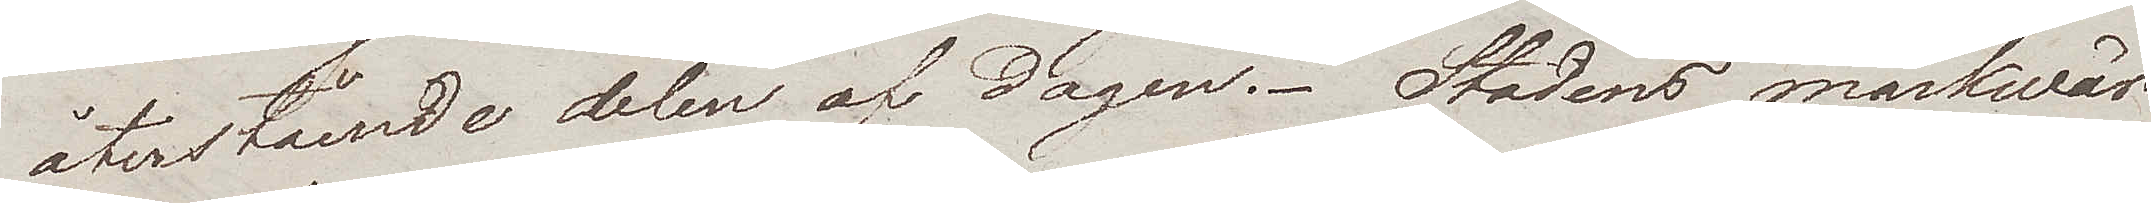återstående delen af dagen. Stadens märkwär¬
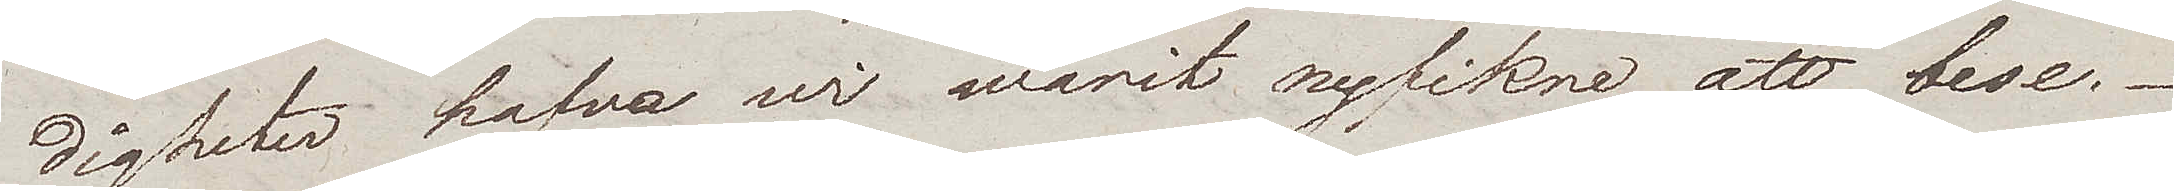digheter hafva wi warit nyfikne att bese.
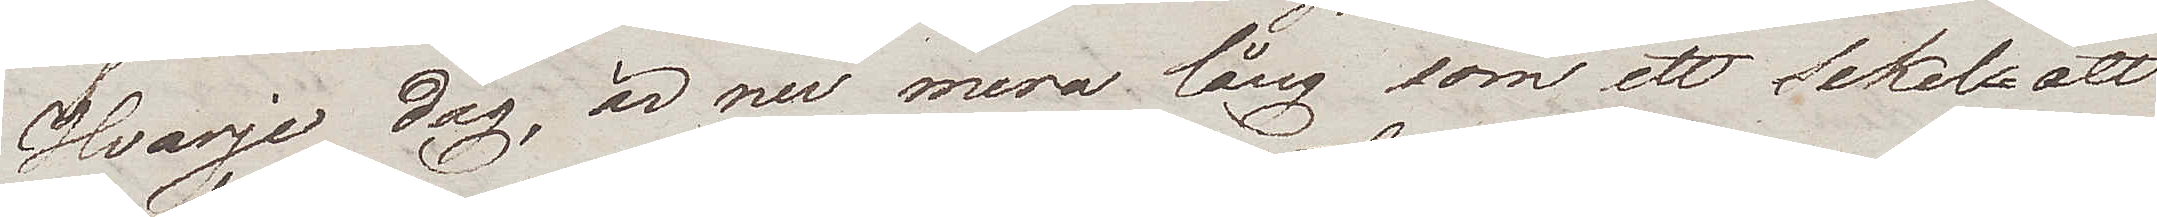Hvarje dag, är nu mera lång som ett sekel att
